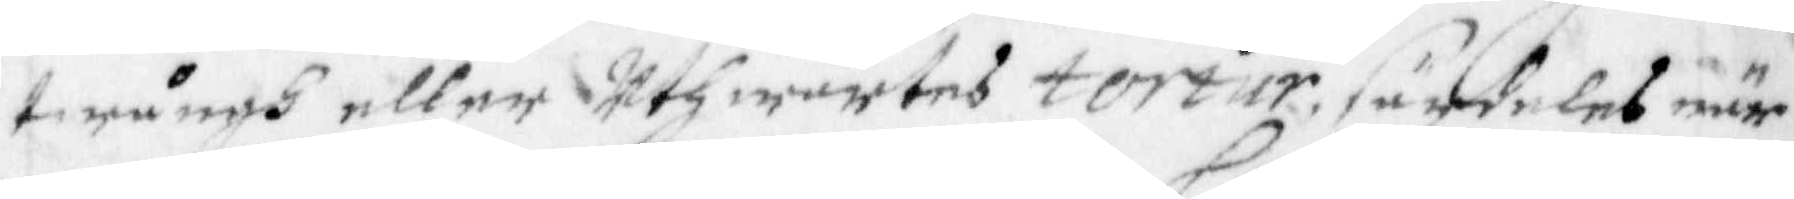twångh eller uthwärtes tortur, särdeles när
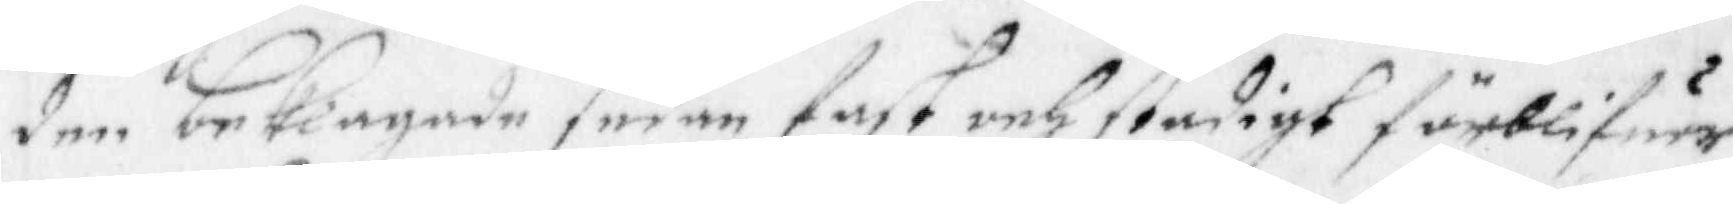den beklagade sedan fast och stadigt förblifuer
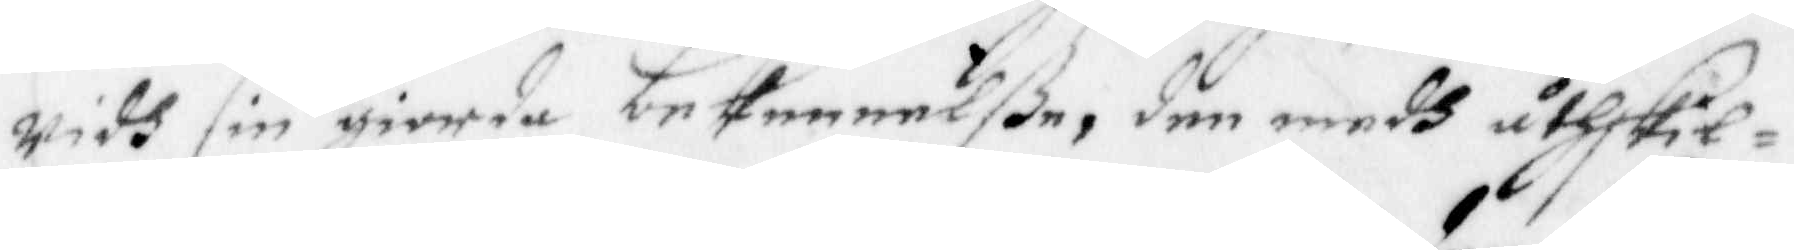widh sin giorda bekennelße, den medh åtskil¬
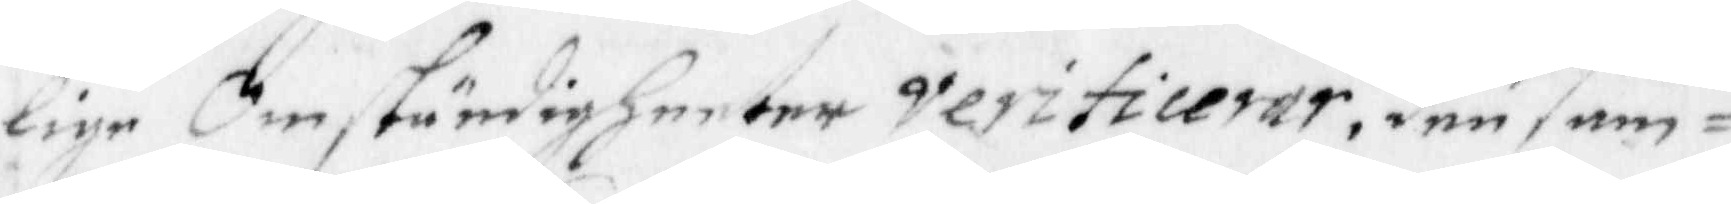lige omständigheeter verificerar, den sam¬
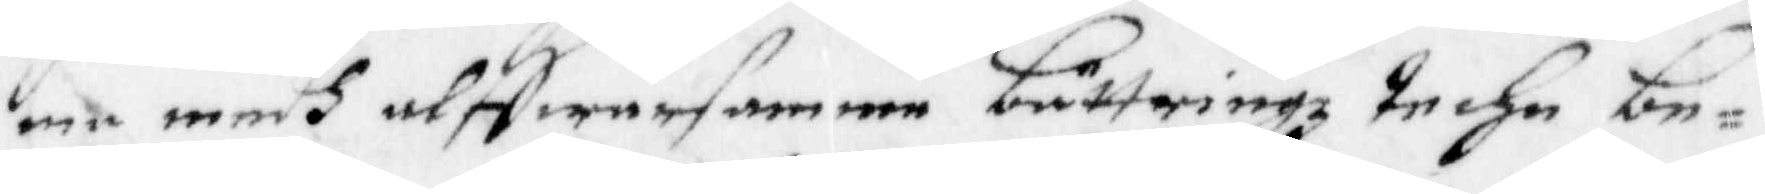ma medh alffwarsamme bättringz techn be¬
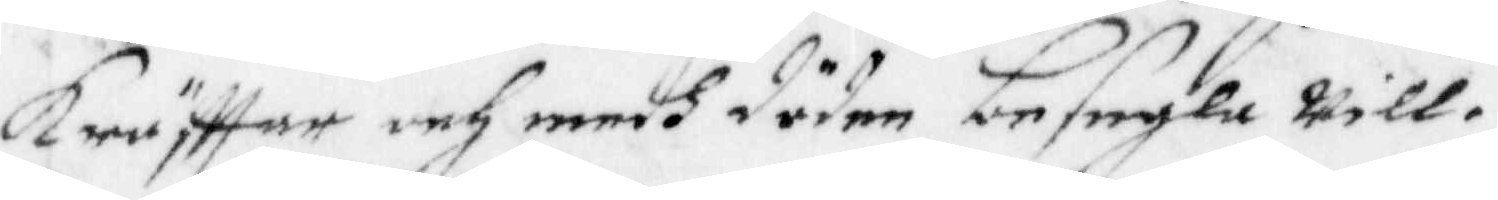kräfttar och medh döden besegla will.
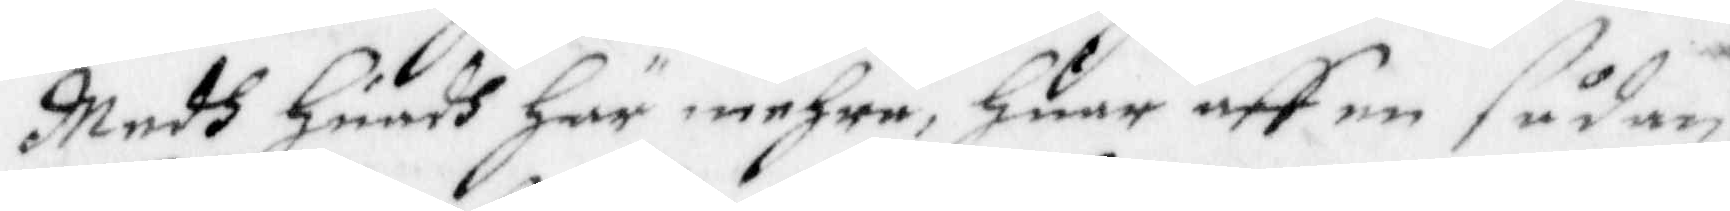Medh huadh här mehra, huar aff en sådan 
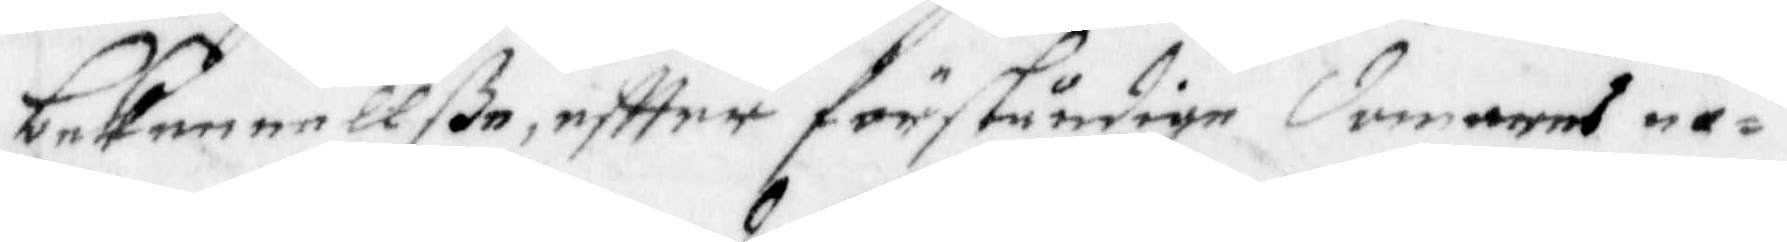bekennellße, eftter förståndige domares no¬
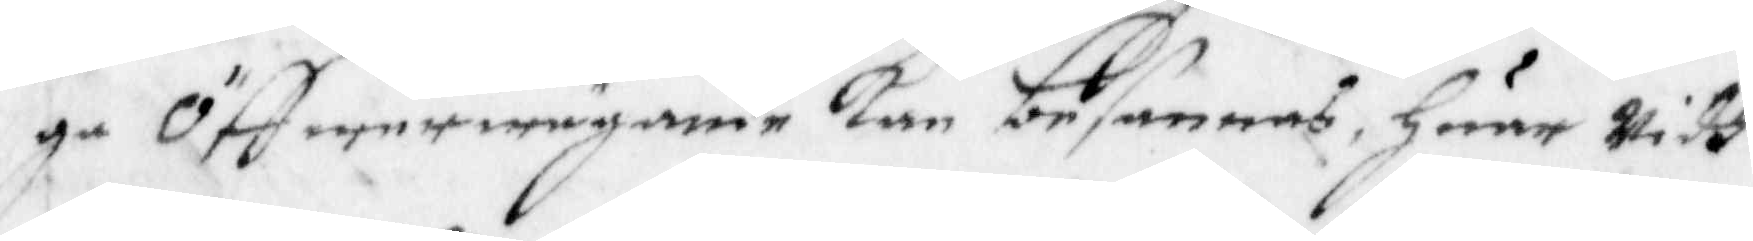ga Öffwerwägande kan besannas, huar Widh
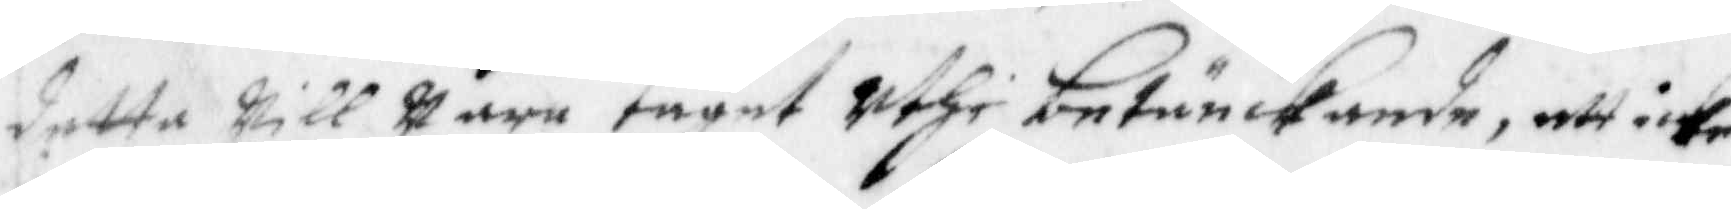detta Will Wara taget Uthi betänckande, att icke
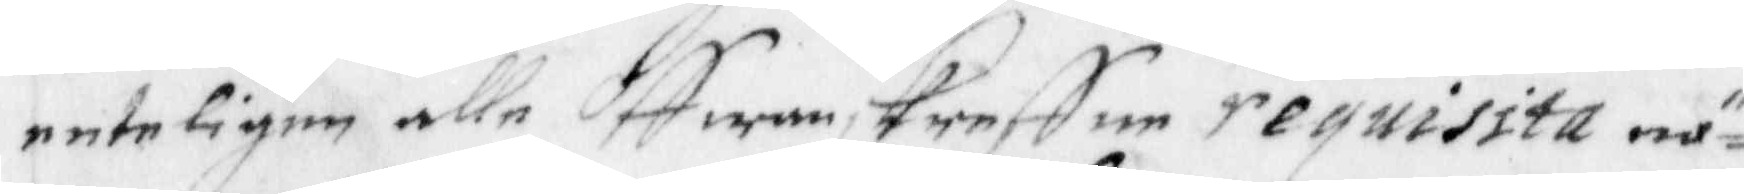enteligen alle Offwanskreffne requisita nö¬
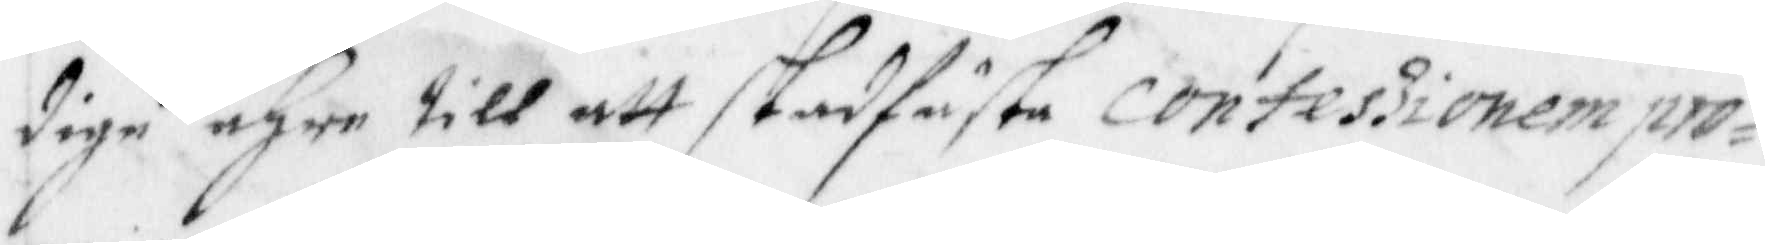dige ähre till att stadfästa consessionem pro¬
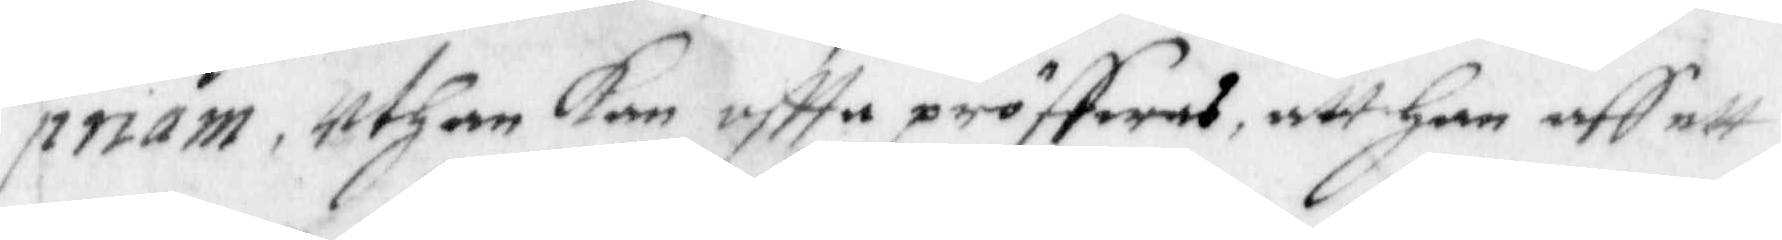priam, uthan kan oftta pröffwas, att han aff ett
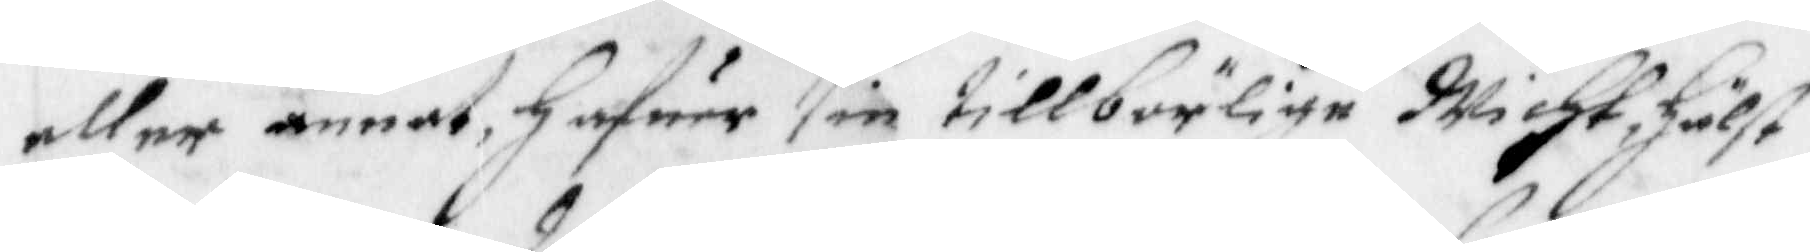eller annat hafuer sin tillbörlige Wicht, hälst
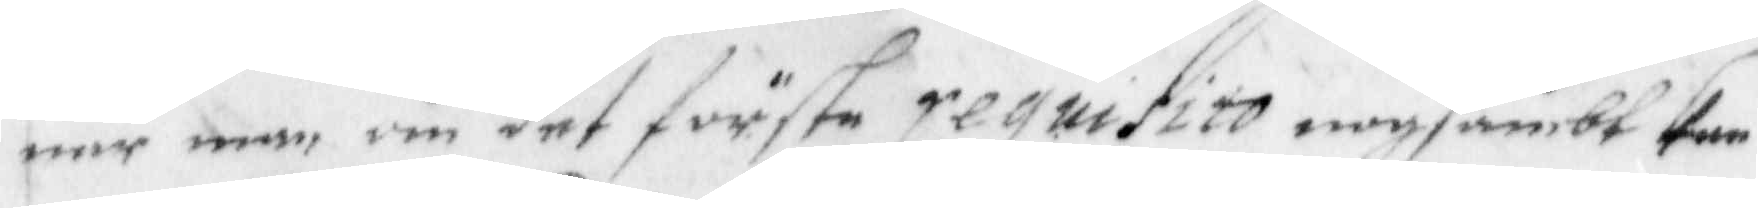när man om det förste requisito nogsambt kan
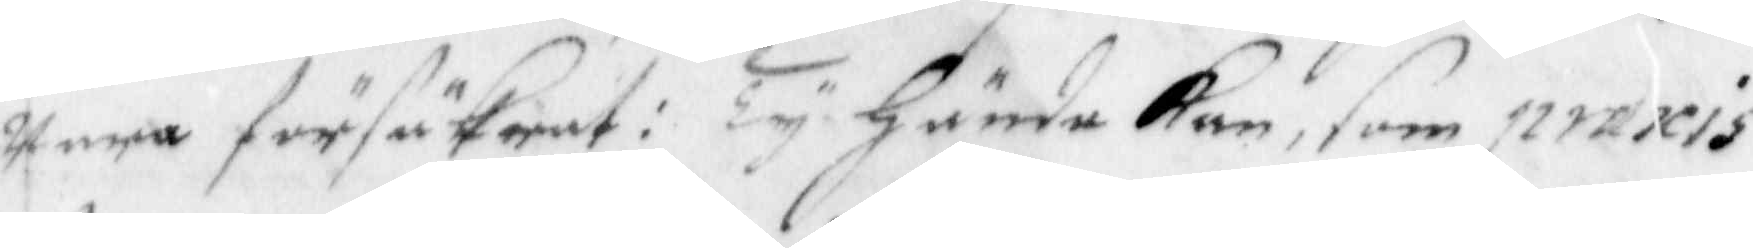wara försäkrat: Ty hände kan, som praxis
